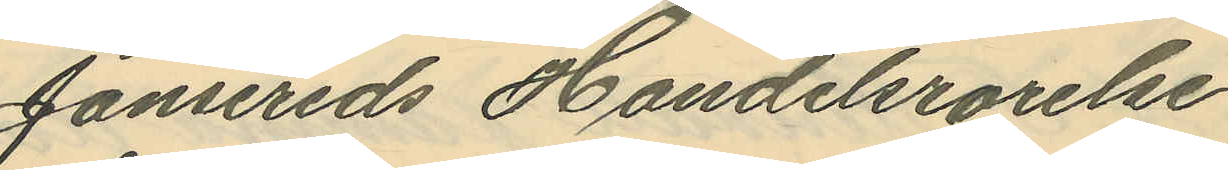Jonsereds Handelsrörelse
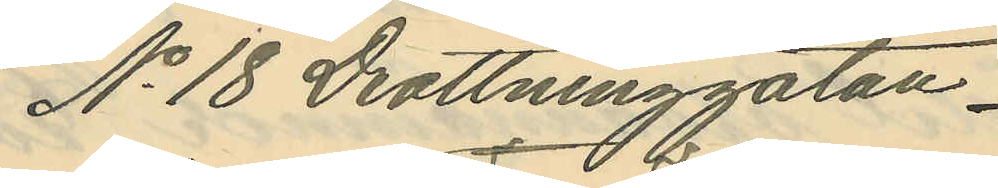No 18 Drottninggatan
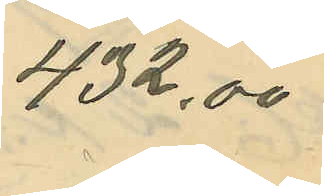432,00
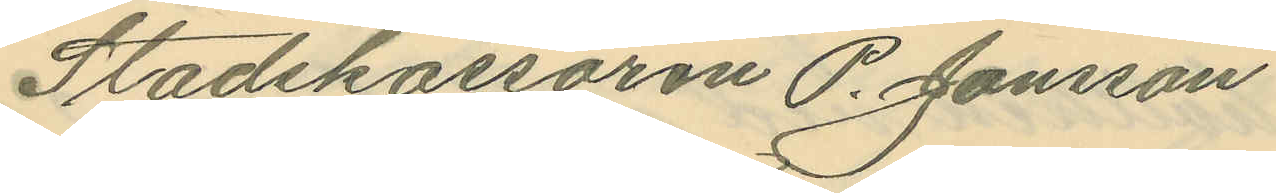Stadskassören P. Jönsson
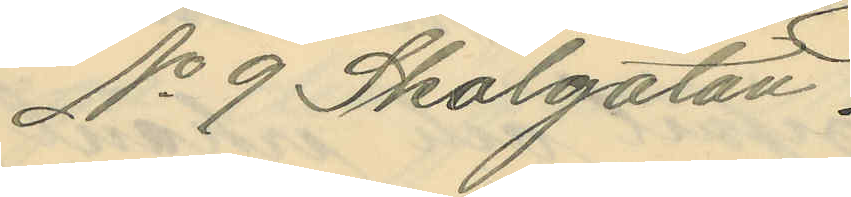No 9 Skolgatan
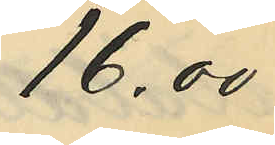16,00
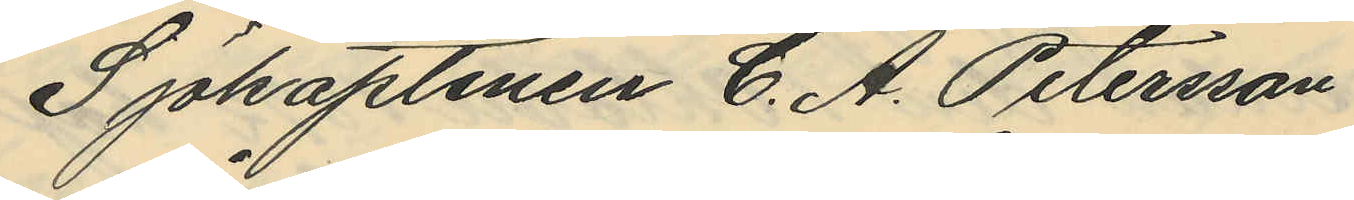Sjökaptenen C. A. Petersson
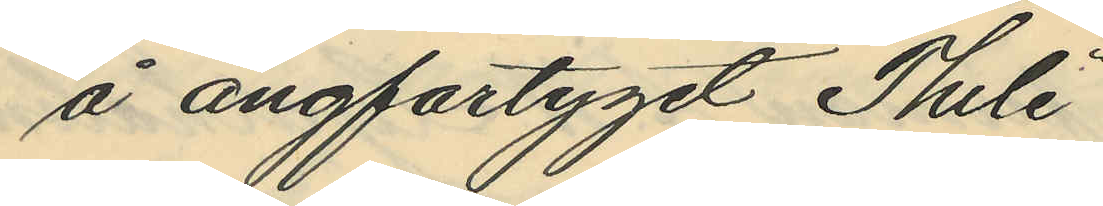å ångfartyget "Thule"
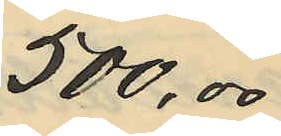500,00
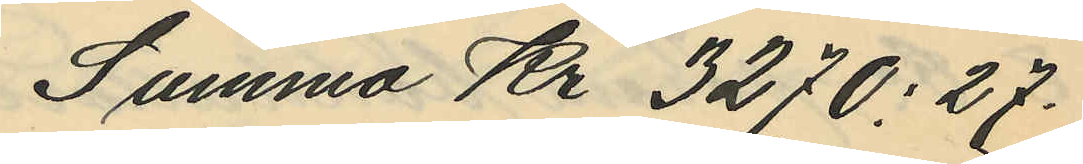Summa Kr 3270:27.
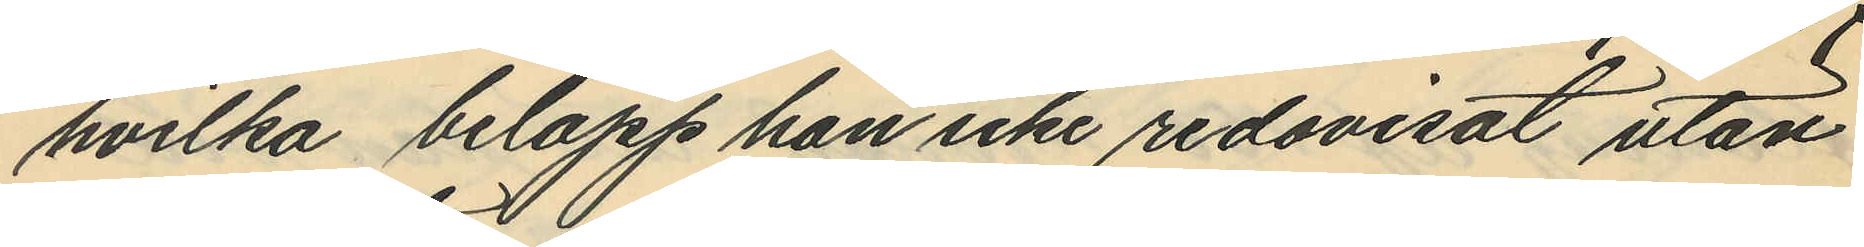hvilka belopp han icke redovisat utan
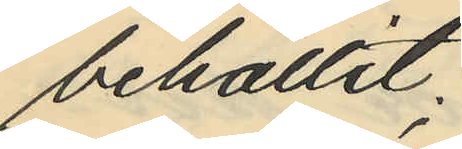behållit;
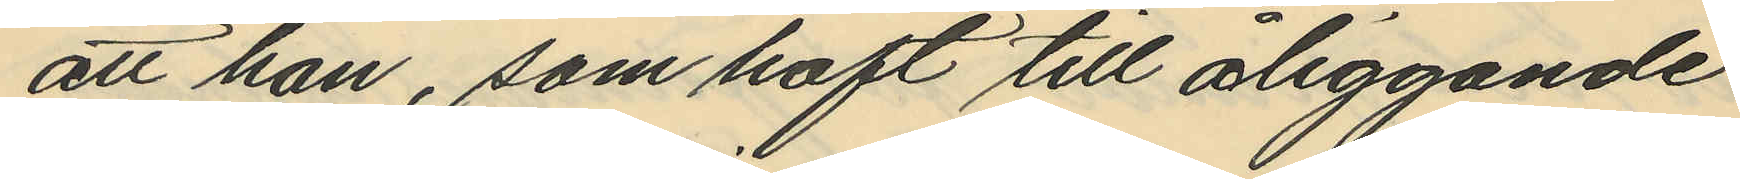att han, som haft till åliggande
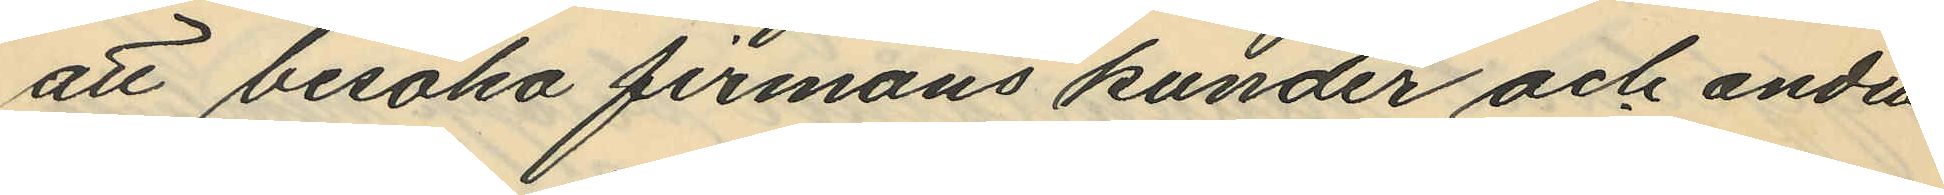att besöka firmans kunder och andra
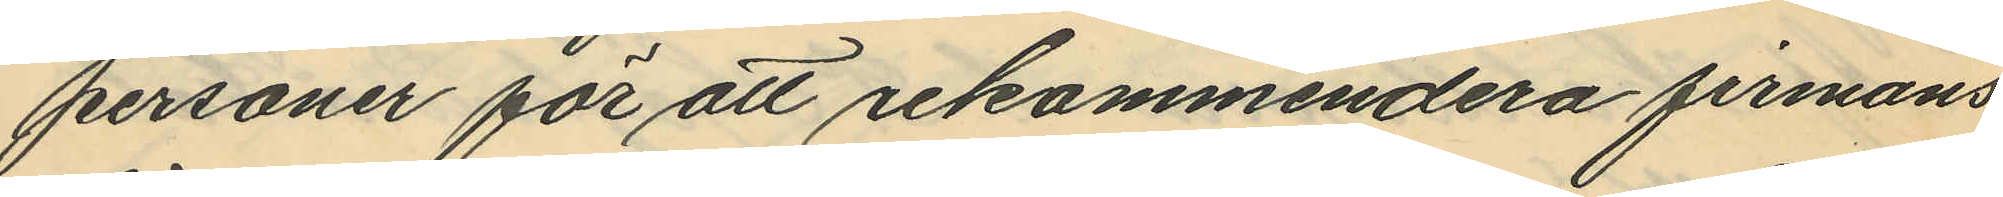personer för att rekommendera firmans
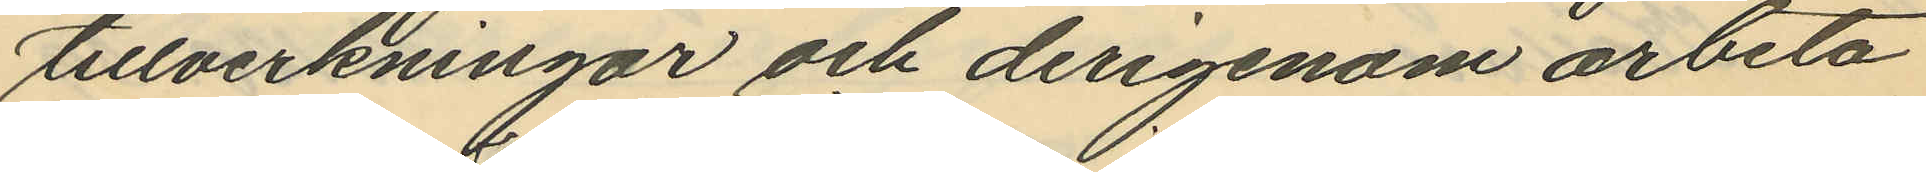tillverkningar och derigenom arbeta
